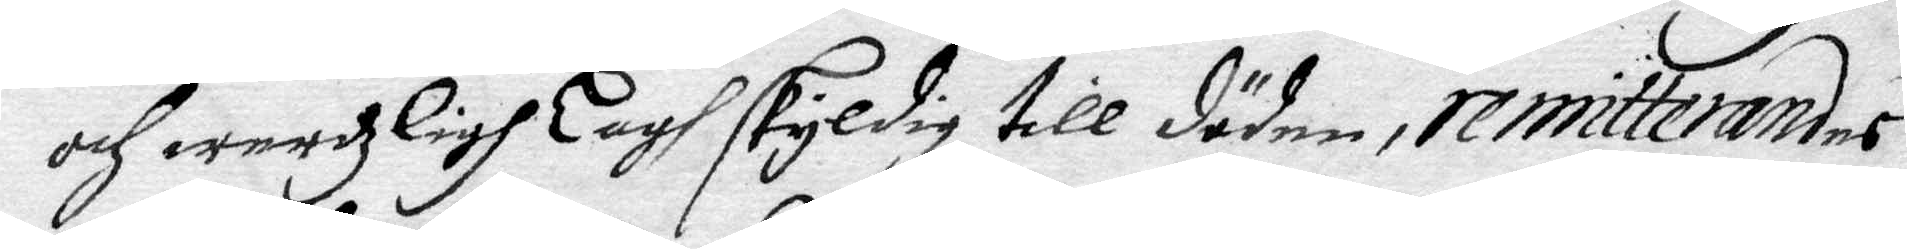och werdzligh Lagh skyldig till döden, remitterandes
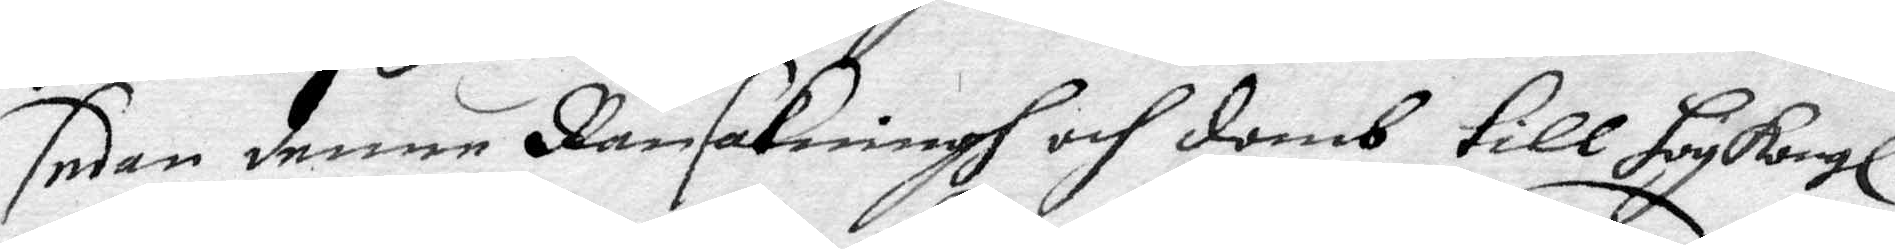sedan denne Ransakningh och domb till hög Kongl.
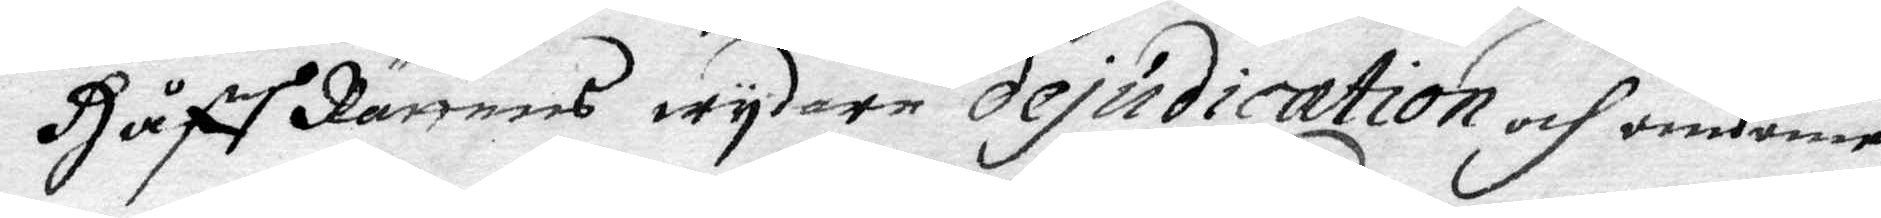Håff Rättens wydare dejudication och omdöme
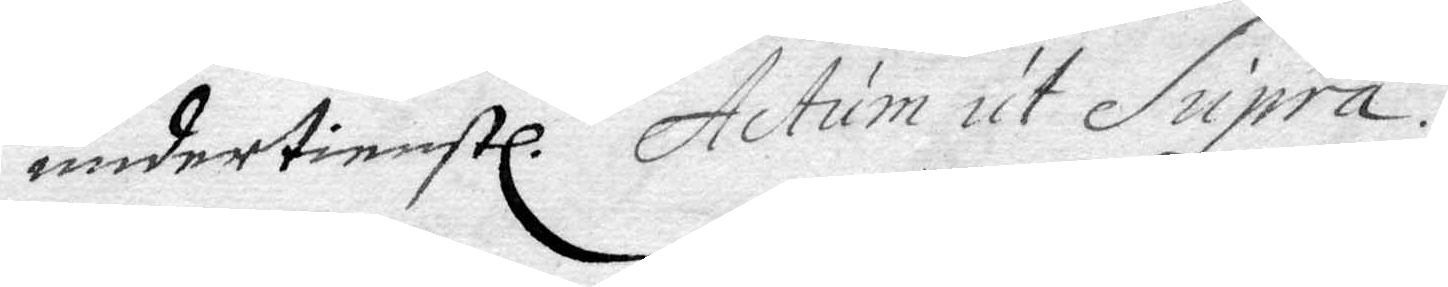undertienstl. Actum ut Supra.
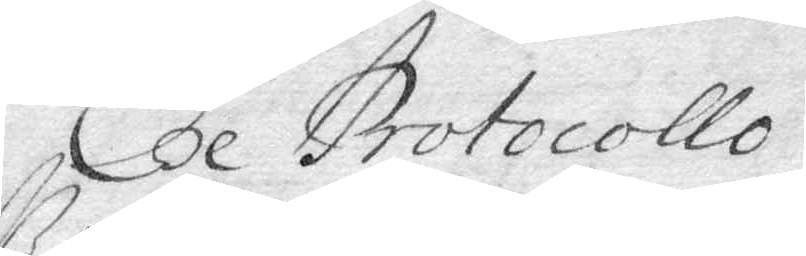Ex Protocollo
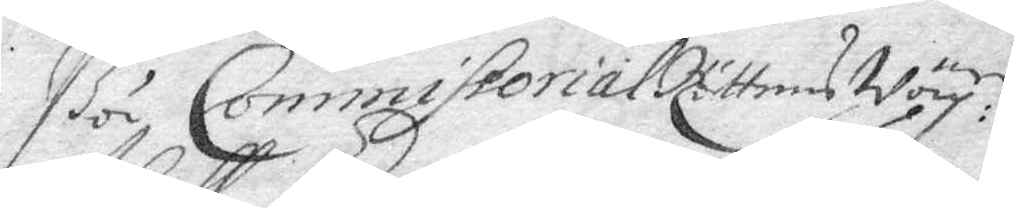På Commissorial Rättens Wäg:
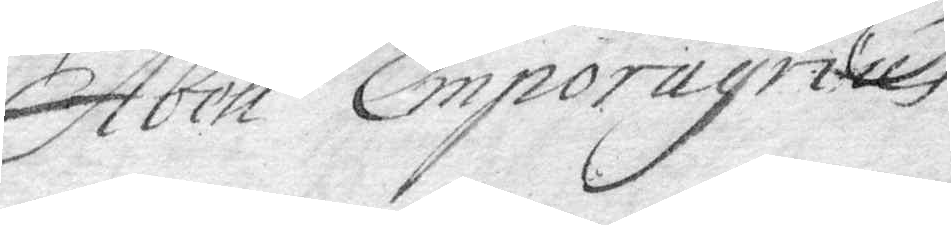Abell Emporagrius
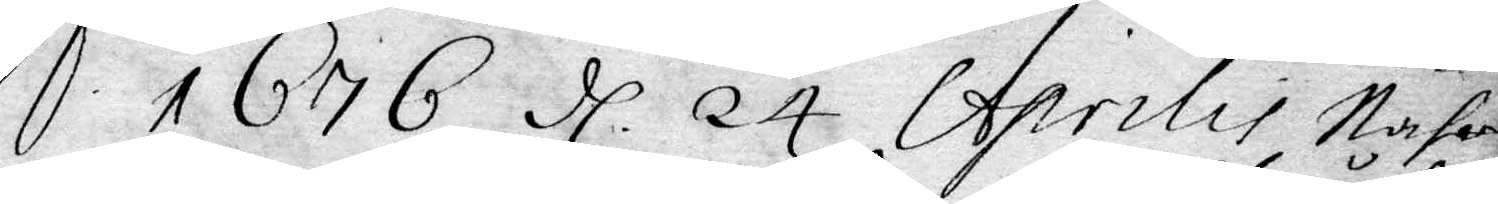A:o 1676 d. 24 Aprilis Nahr¬
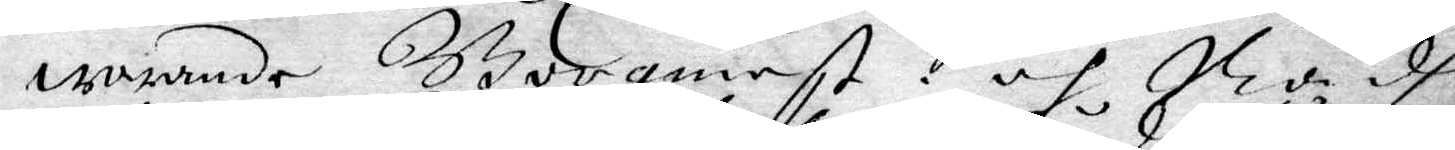warnade Borgarneß och Rådh
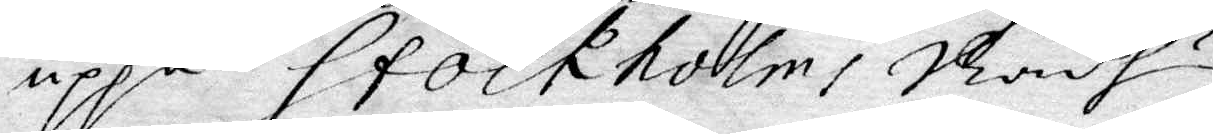uppå Stockholms Rådhus.
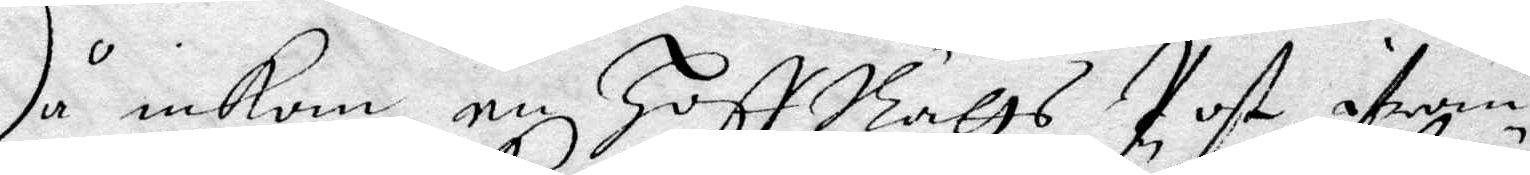Då inkom en Hoff Rätts Post ifrån
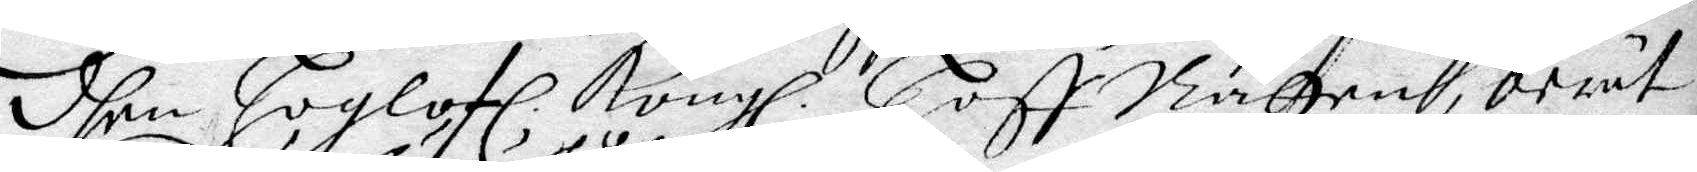shen höglof. Kongl. Hoff Rätten, berät¬
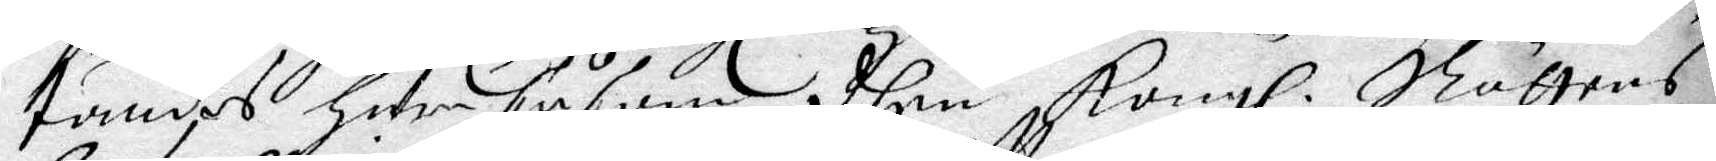tandes huru såsom dhen Kongl. Rättens
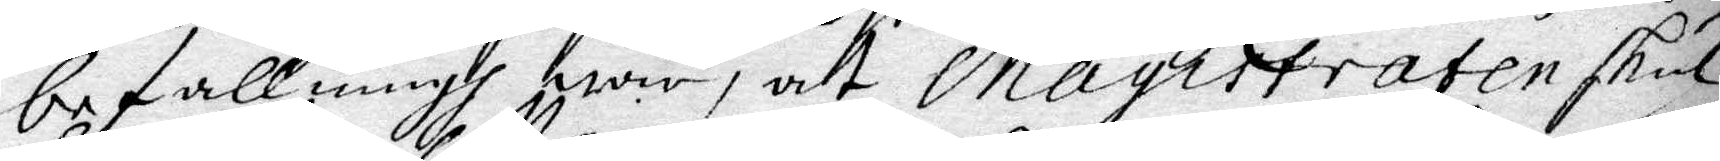befallning woro, att Margistraten skul¬
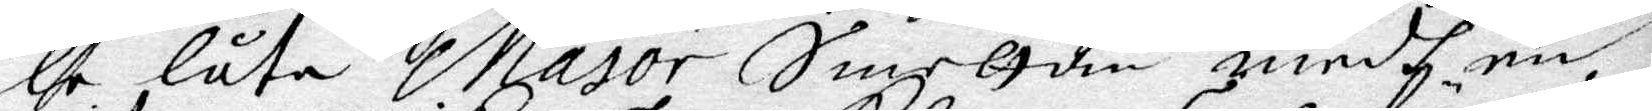le låta Major Smeltan medh en
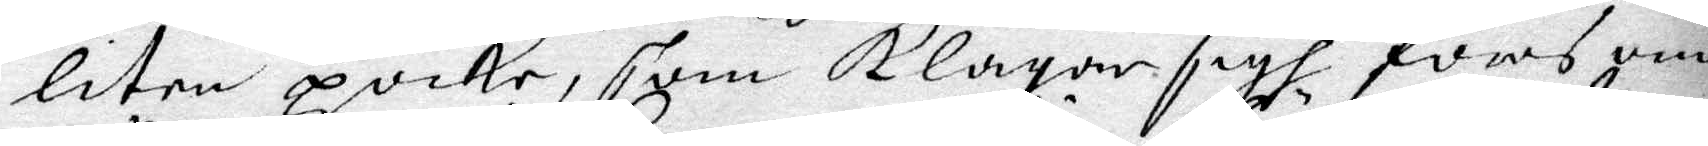liten poike, som klagar sigh föras om
